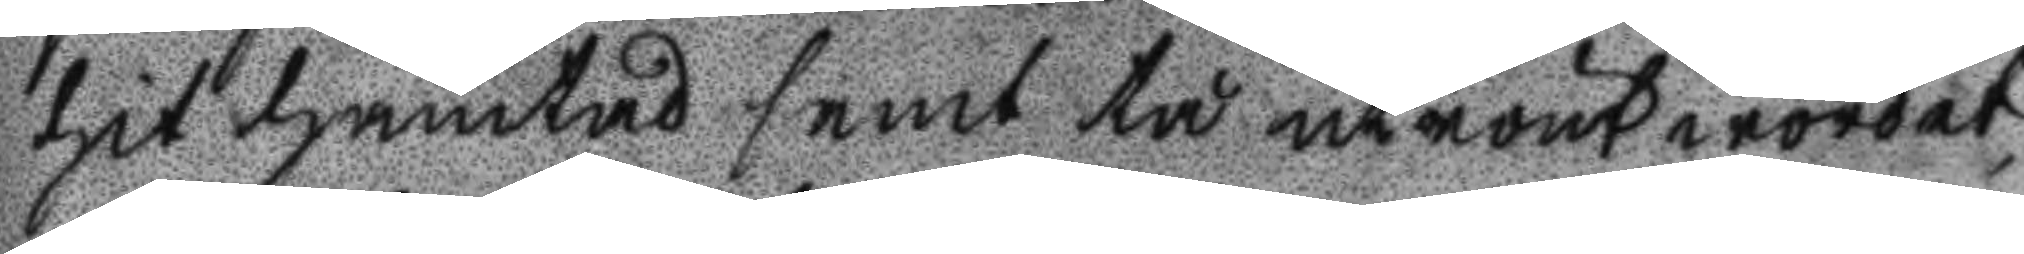hit hämtad samt tå utrönt wordet
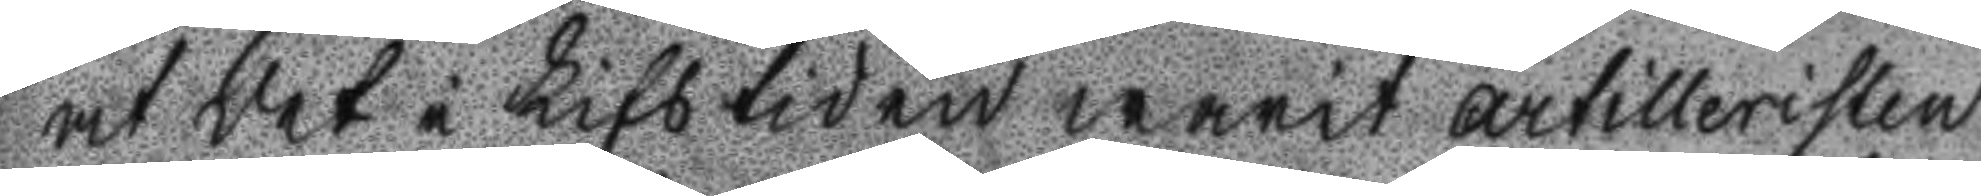at det i Lifstiden warit Artilleristen
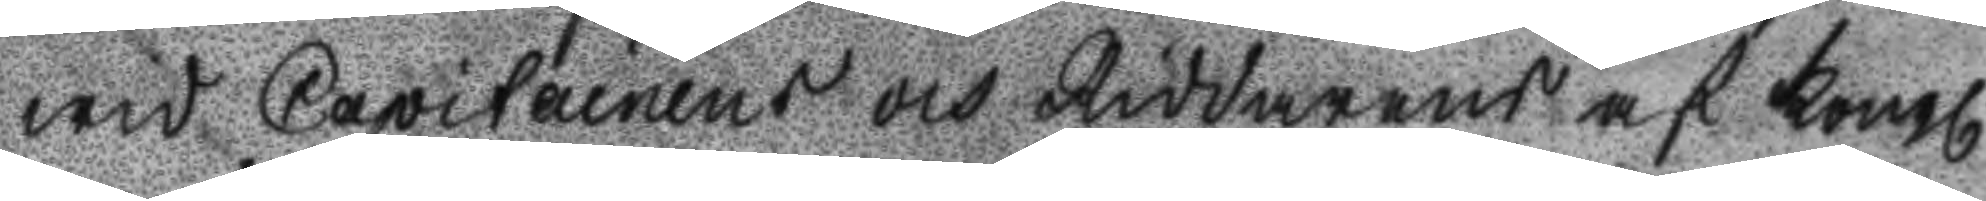wid Capitainens och Riddarens af Kongl
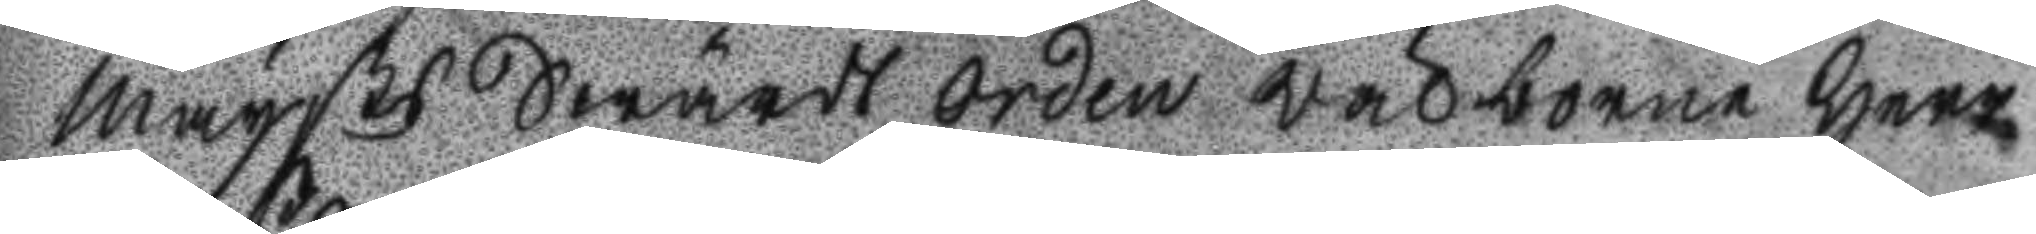Maysts Swärds Orden Wälborne Herr
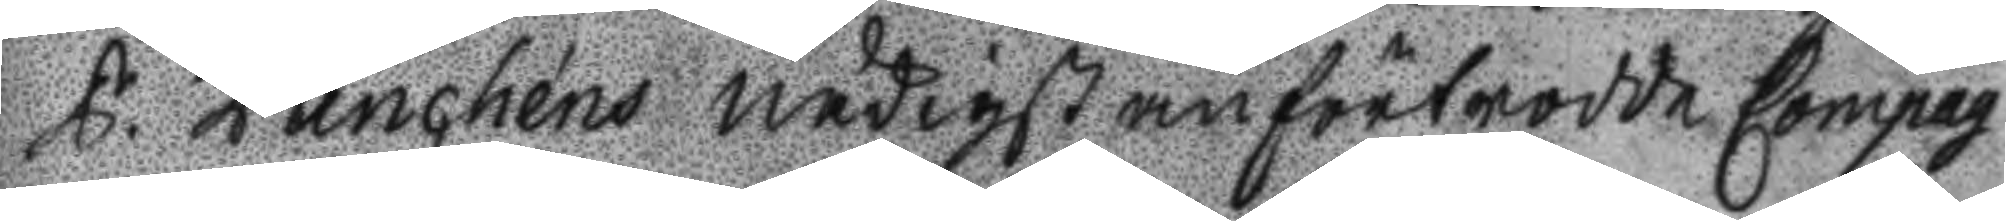P. Panchéns nådigst anförtrodde Compag
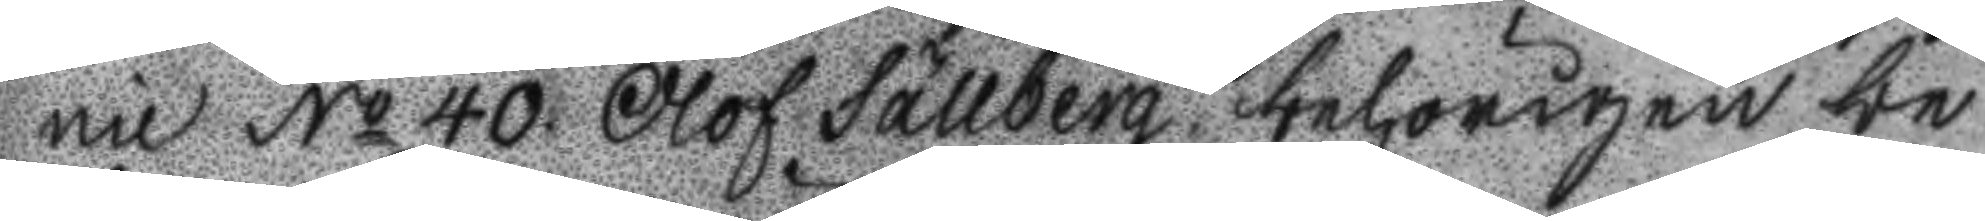nie No 40. olof Sällberg behörigen be
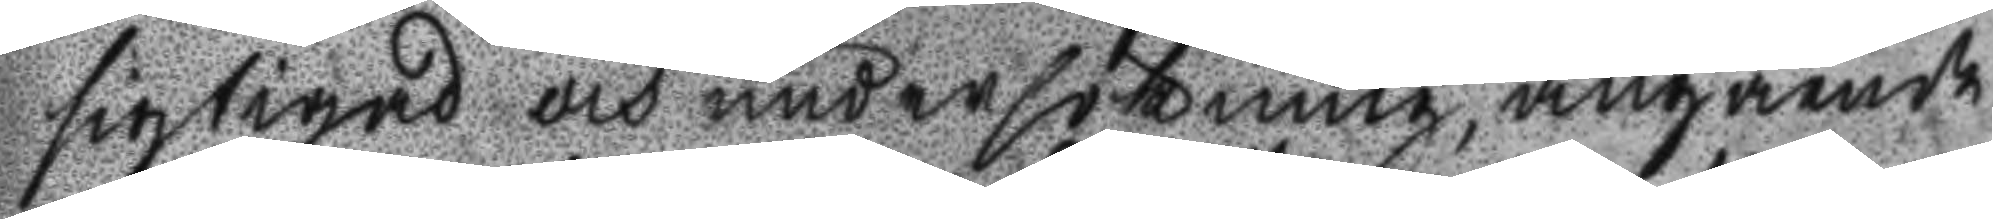sigtigad och undersökning, angående
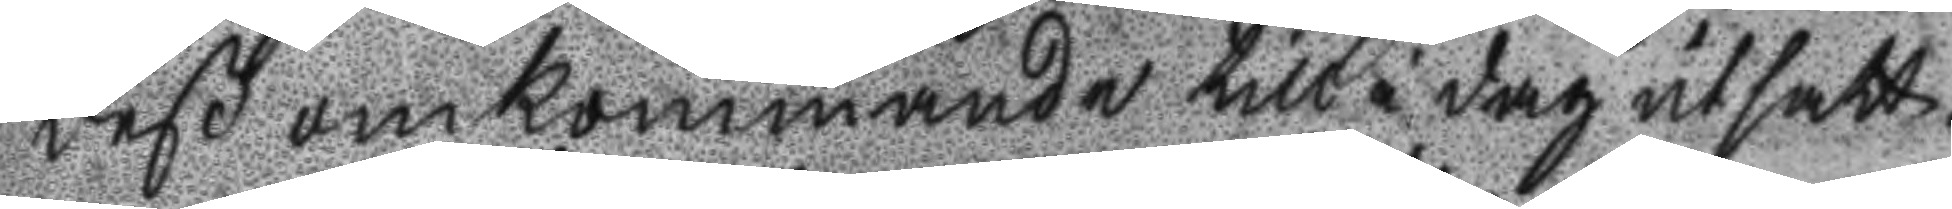deß omkommande till i dag utsatt.
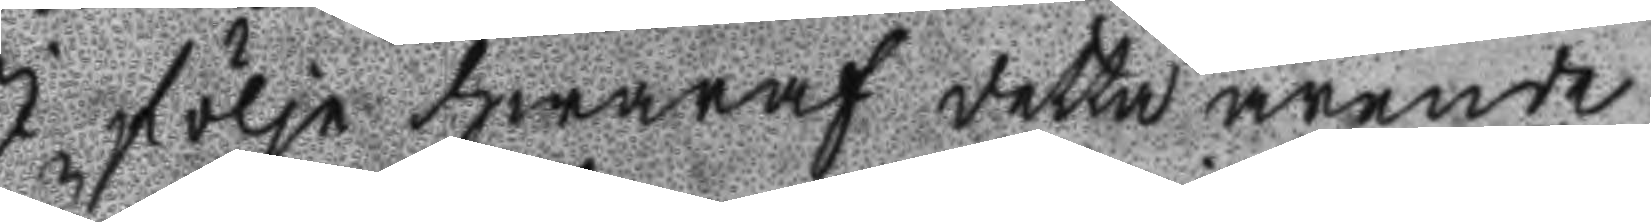I följe hwaraf detta ärende
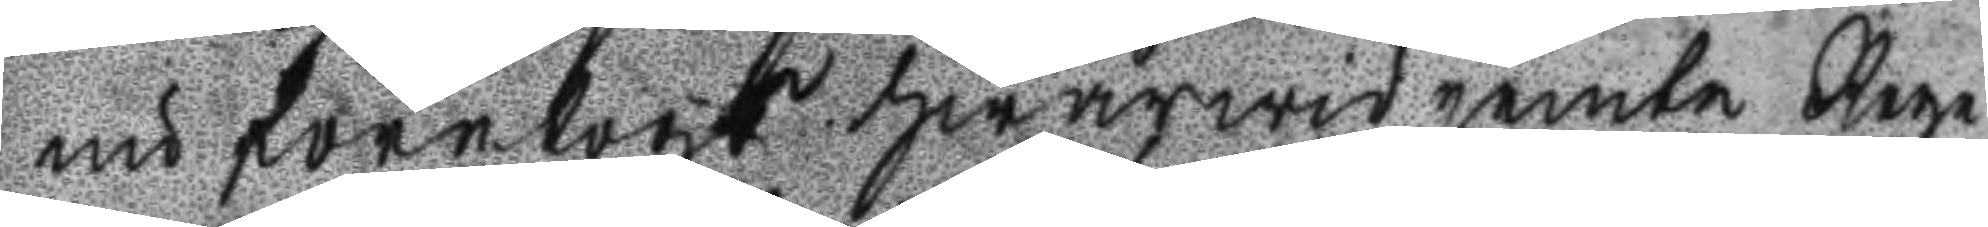nu fertogs hwarwid jemte rege
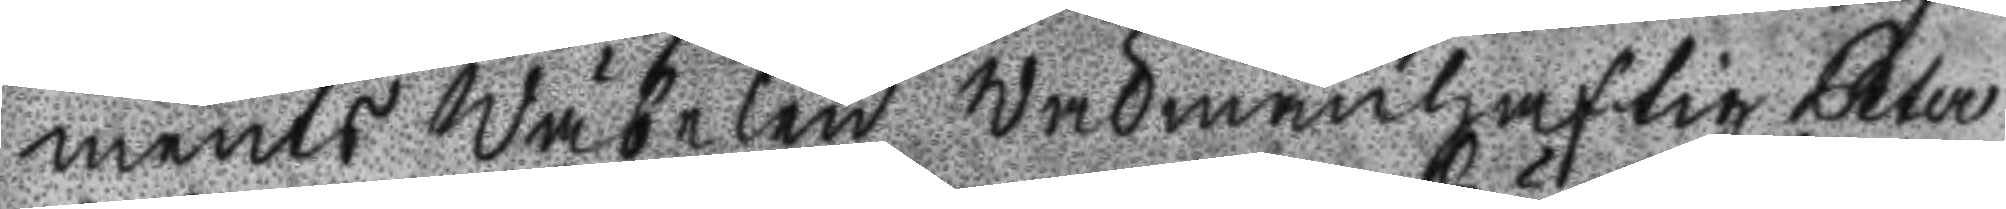ments Wäbelen Wälmanhaftig Peter
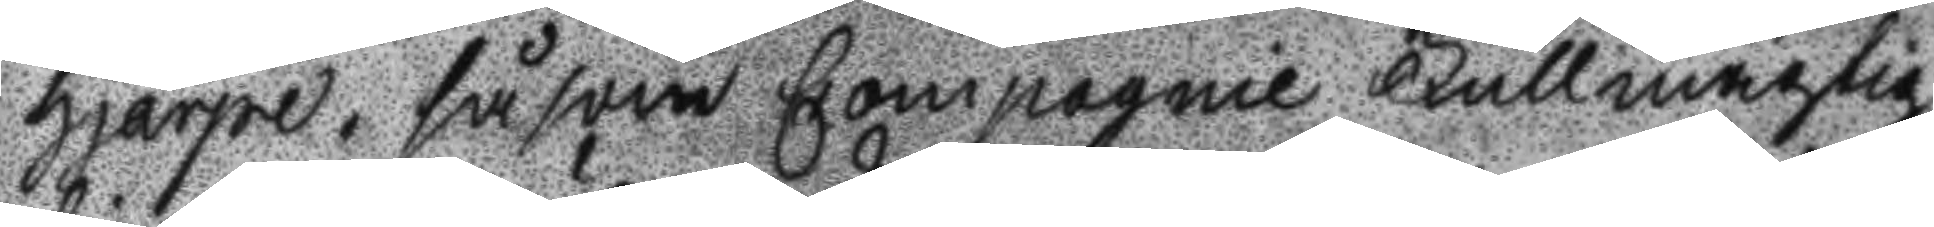Hjärpe, såsom Comagnie Fullmägtig
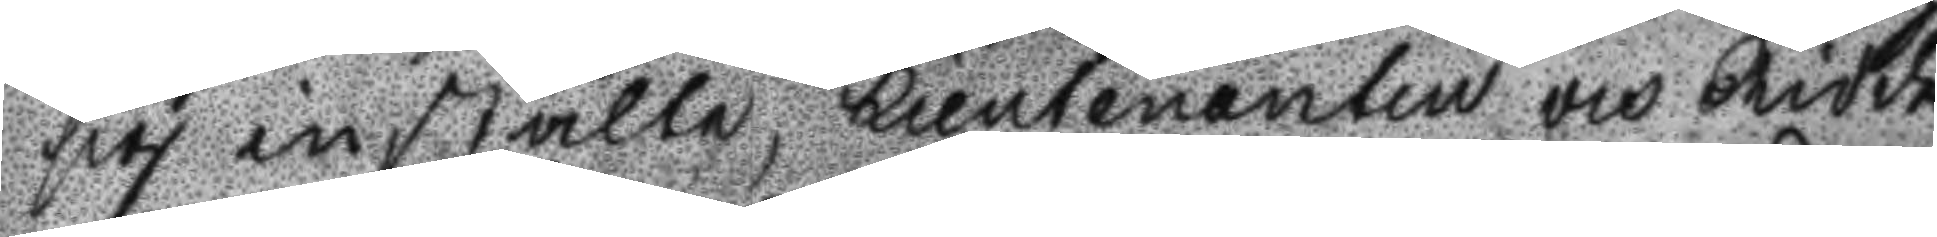sig instälte, Lieutenaten och Ridda
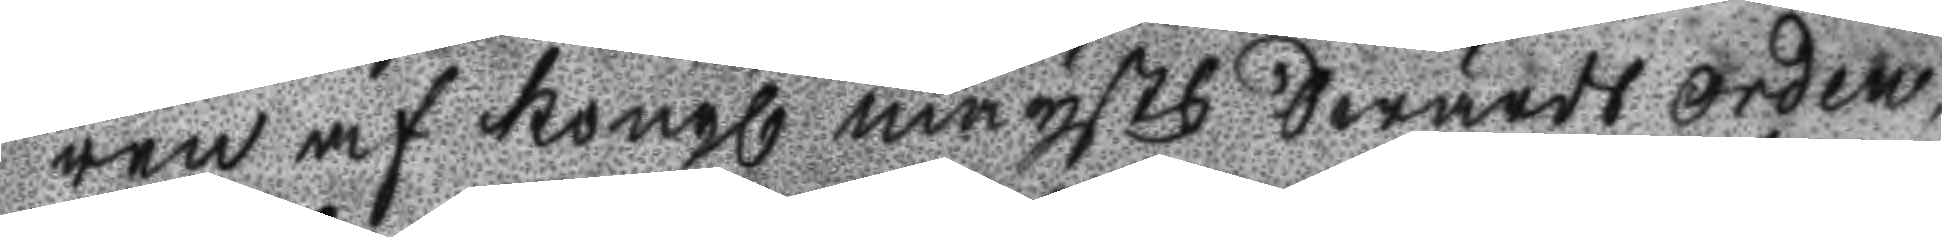ren af Kongl Maysts Swärds Orden
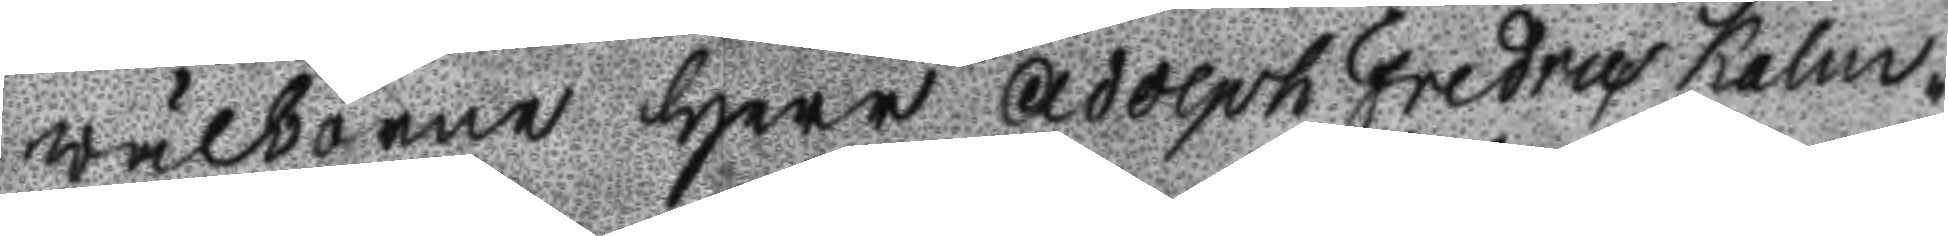Wälborne Herr Adolph Fredric Kalm¬
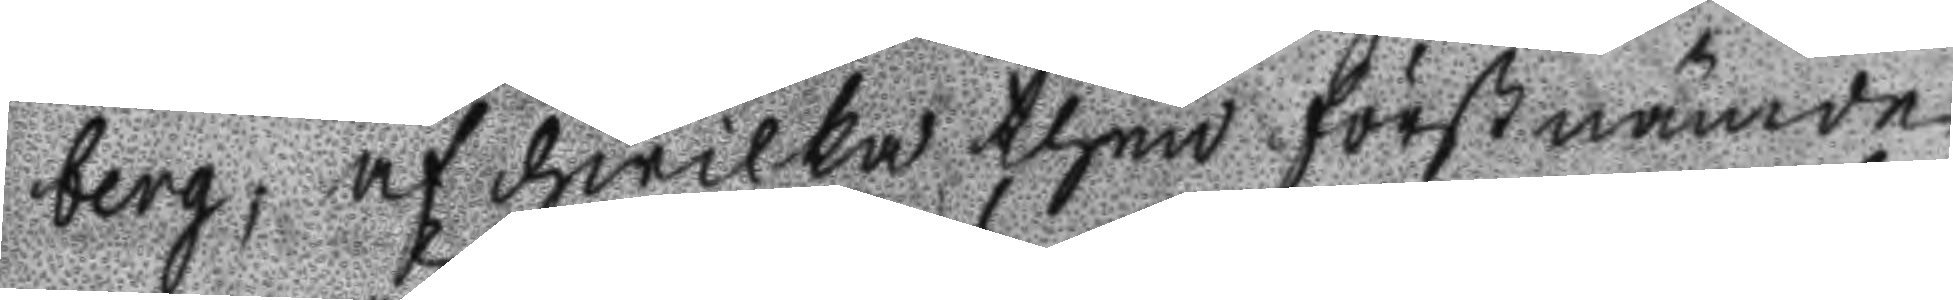berg, af hwilka then förstnämde
